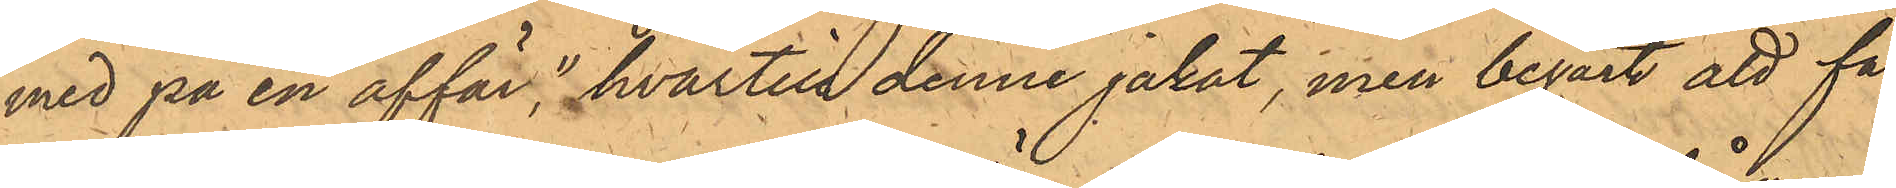med på en affär", hvartill denne jakat, men begärt att få
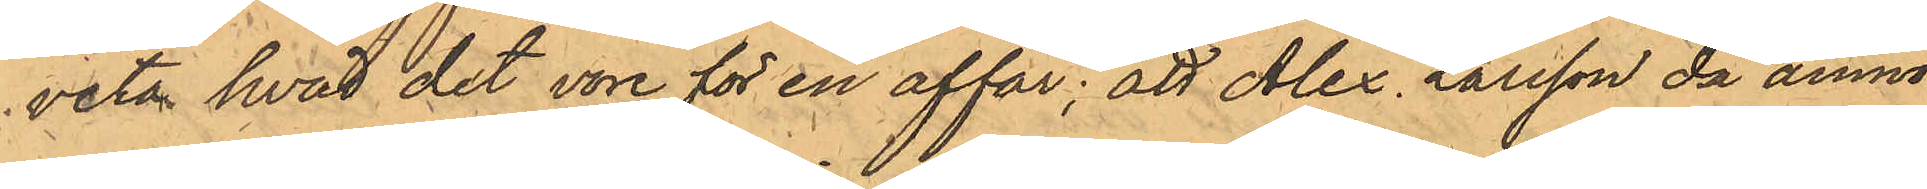veta hvad det vore för en affär; att Alex. Larsson då anmo¬
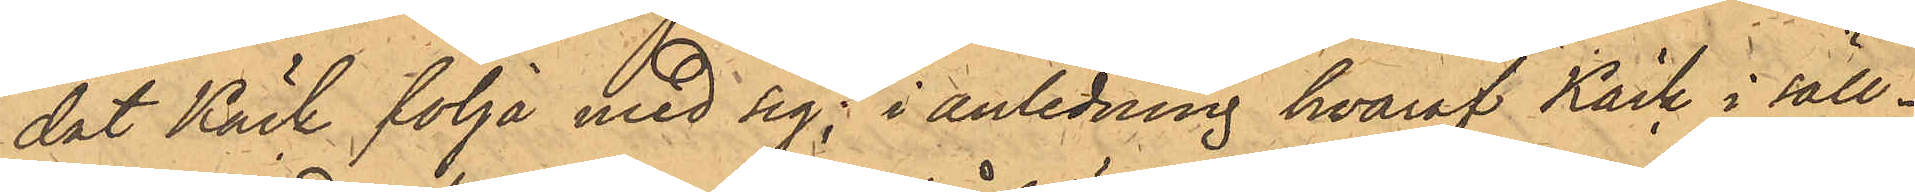dat Käck följa med sig; i anledning hvaraf Käck i säll¬
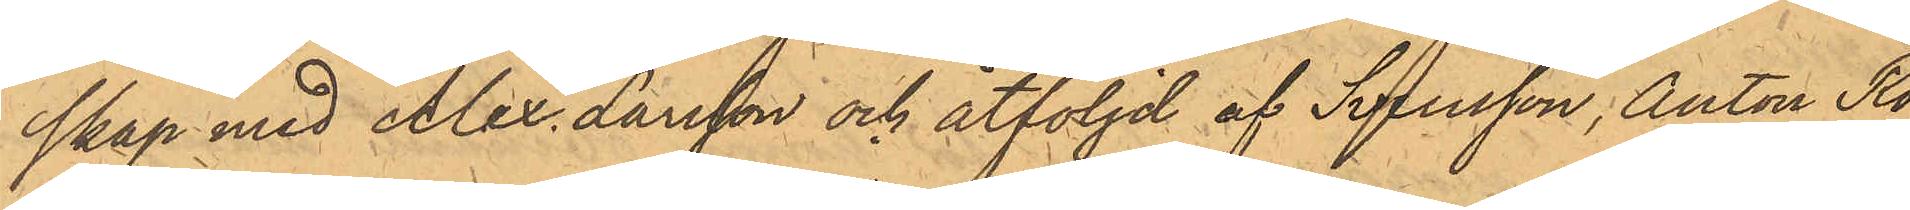skap med Alex. Larsson och åtföljd af Svensson, Anton Ro¬
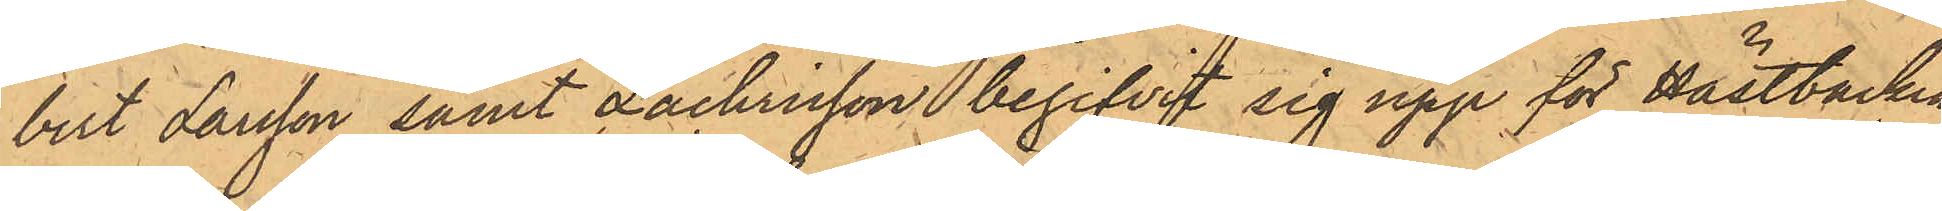bert Larsson samt Zachrisson begifvit sig upp för Hästbacken,
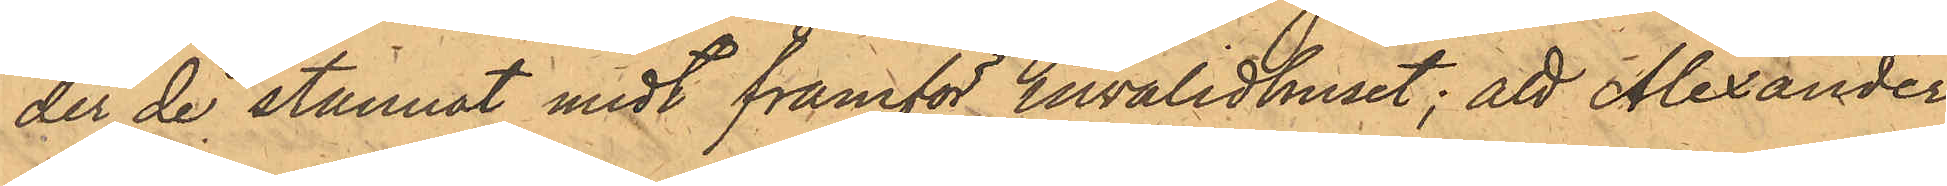der de stannat midt framför invalidhuset; att Alexander
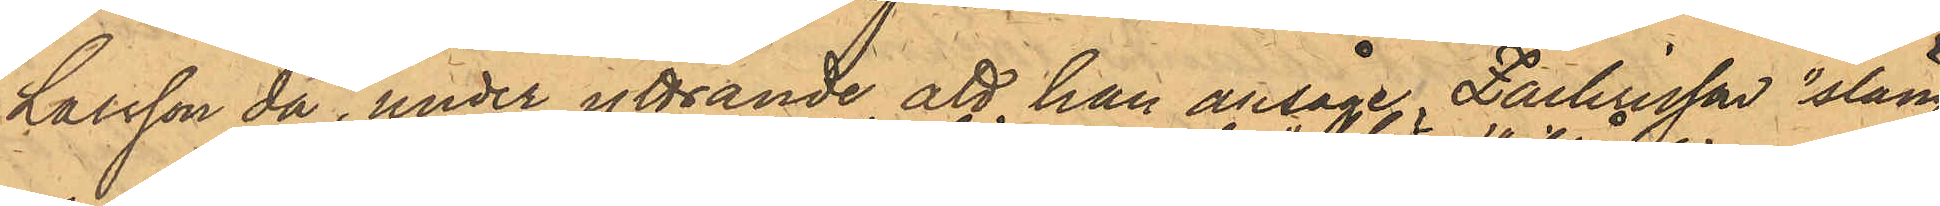Larsson då, under yttrande att han ansåge Zachersson "släng¬
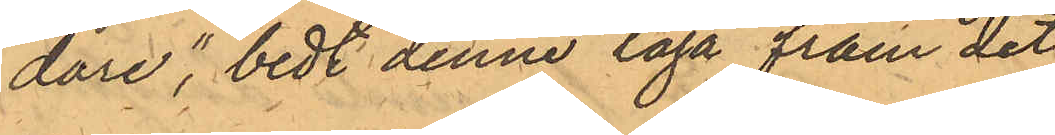dare"; bedt denne taga fram det
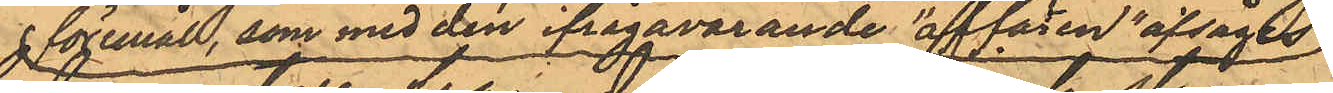föremål, som med den ifrågavarande "affären" afsåges
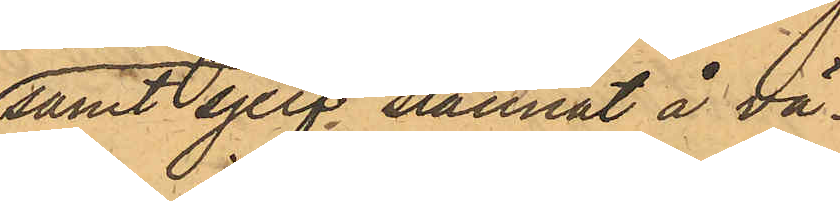samt sjelf stannat å vä¬
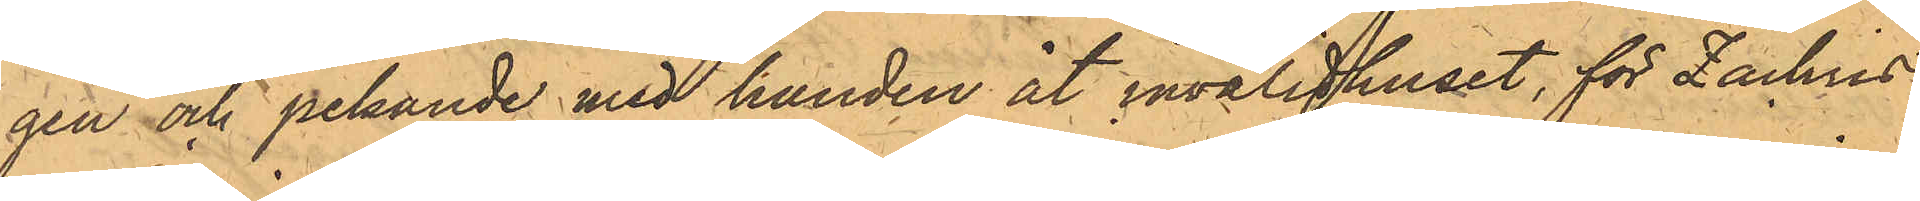gen och pekande med handen åt invalidhuset, för Zachris¬
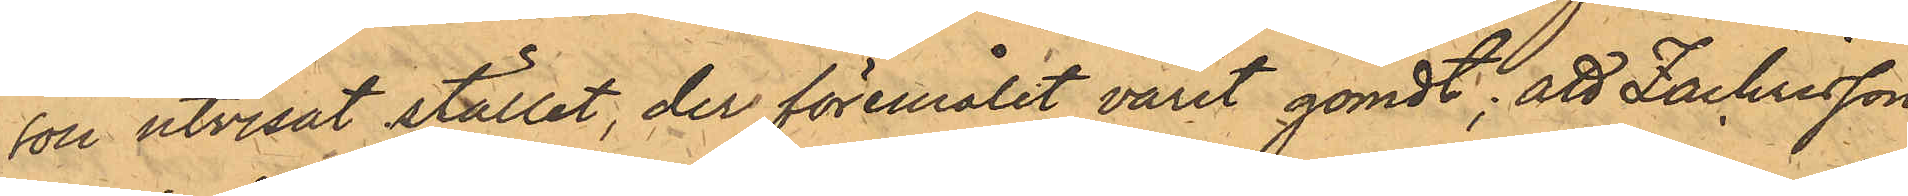son utvisat stället, der föremålet varit gömdt; att Zachrisson
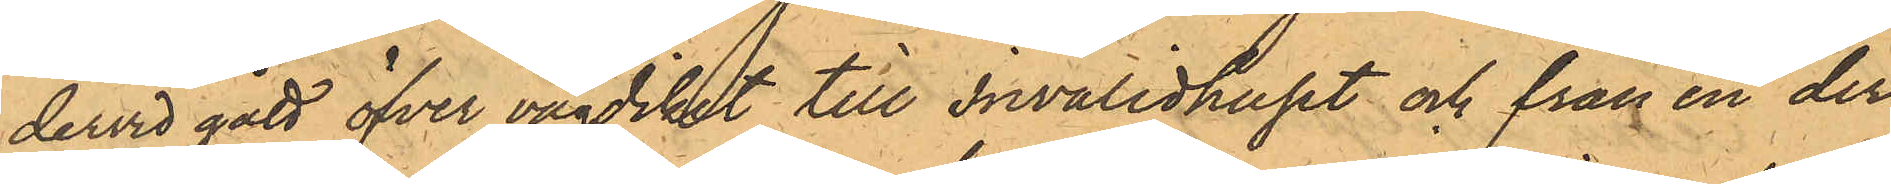dervid gått öfver vägdiket till invalidhuset och från en der¬
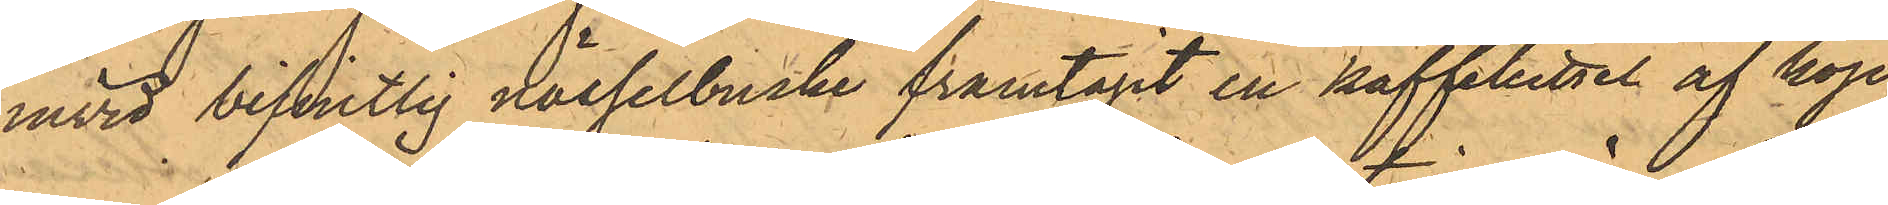invid befintlig nässelbuske framtagit en kaffekittel af kop¬
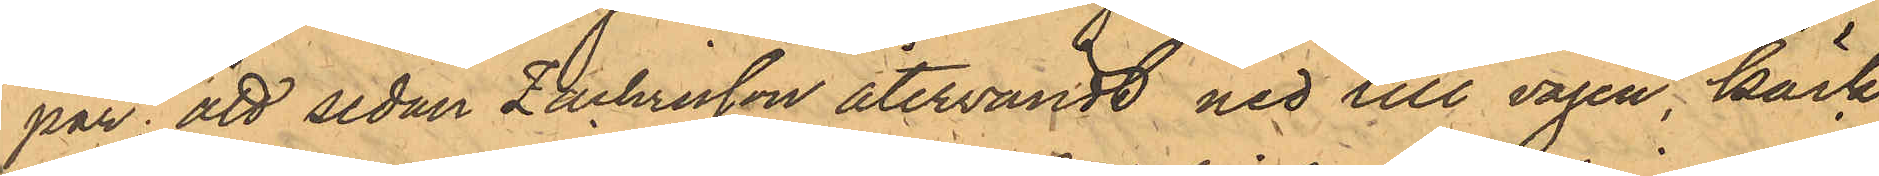par; att sedan Zachrisson återvändt ned till vägen, Käck
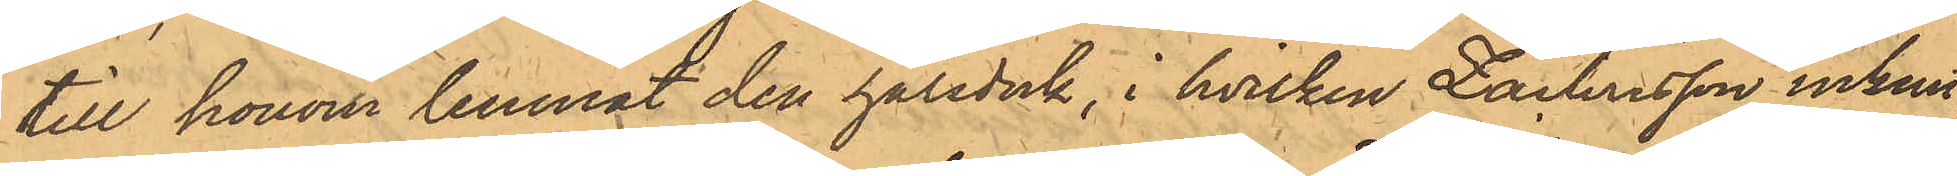till honom lemnat den halsduk, i hvilken Zachrisson inknu¬
